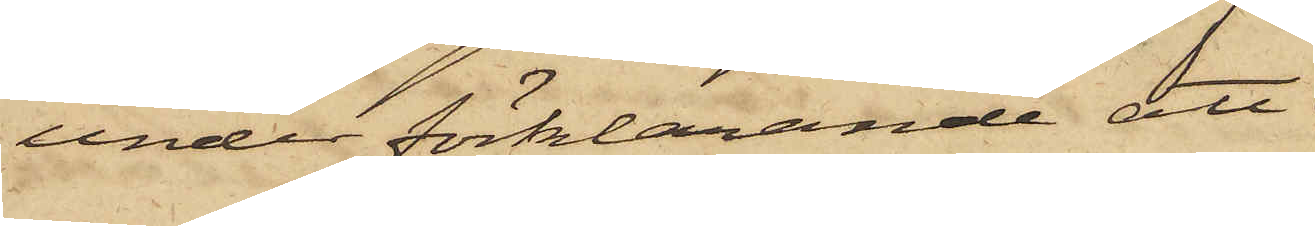under förklarande att
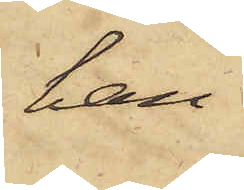han
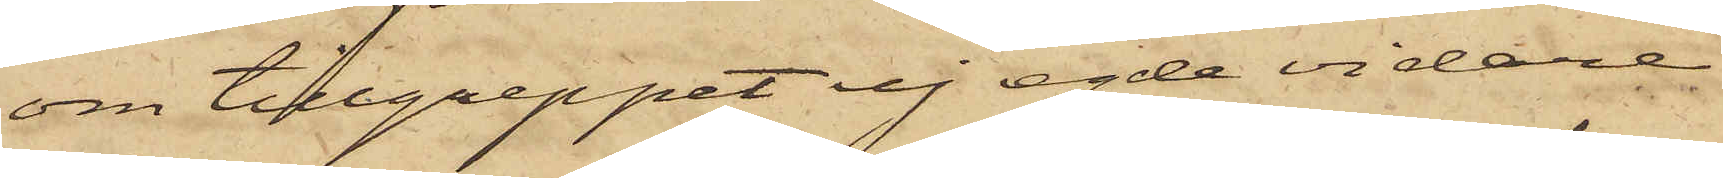om tillgreppet ej egde vidare
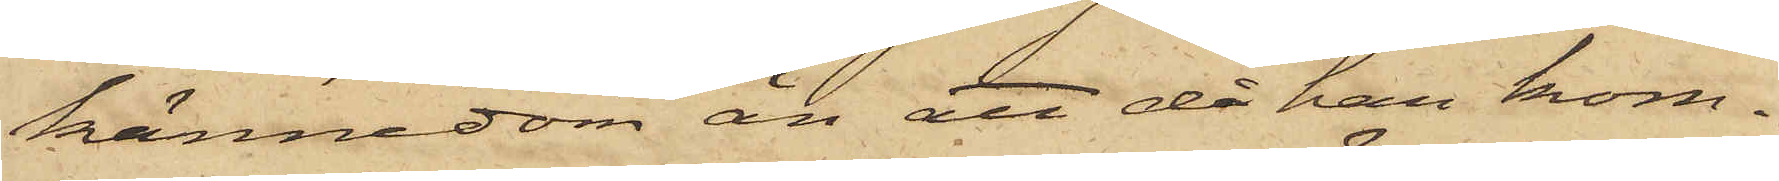kännedom än att då han kom¬
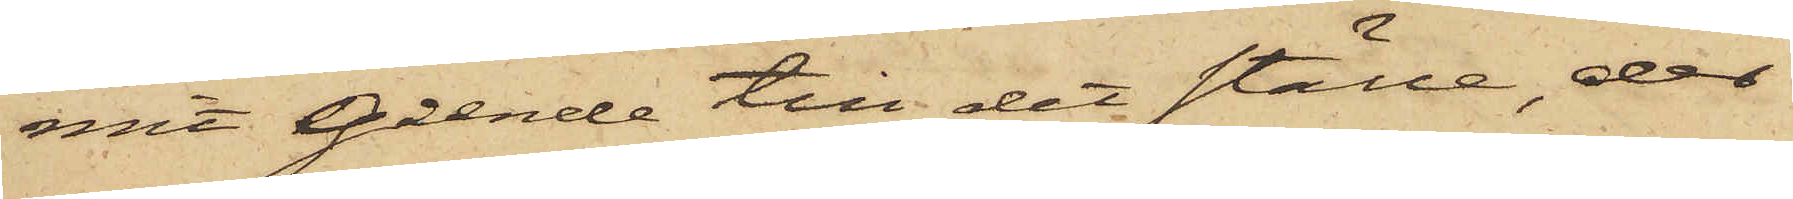mit gående till det ställe, der
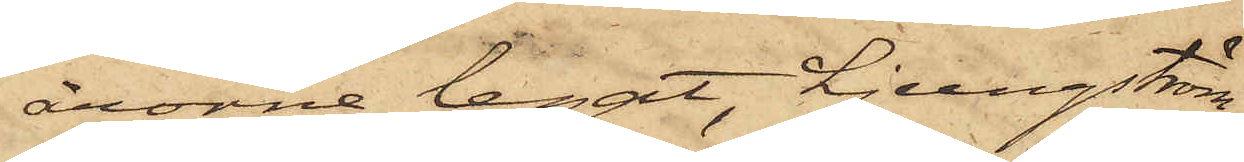årorna legat, Ljungström,
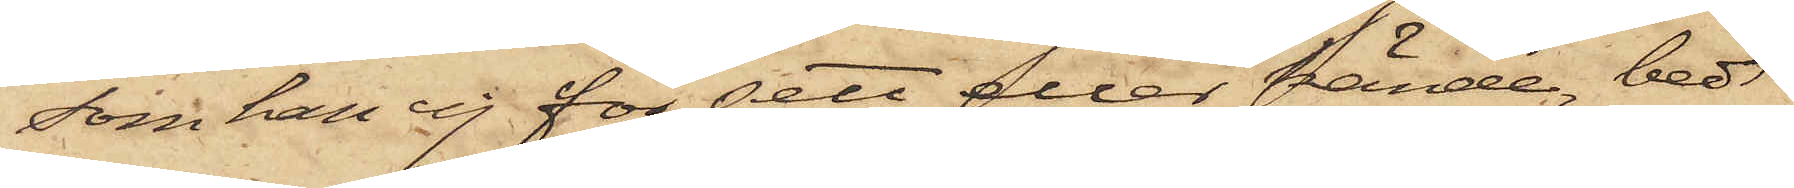som han ej för sett eller kände, bedt
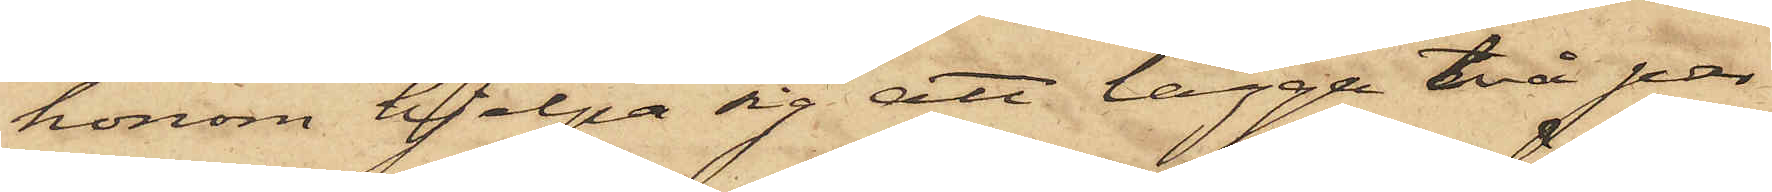honom hjelpa sig att lägga två par
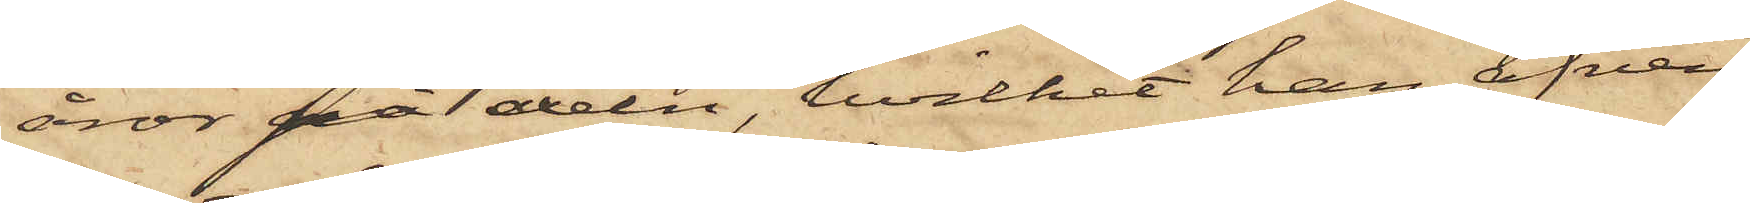åror på axeln, hvilket han äfven
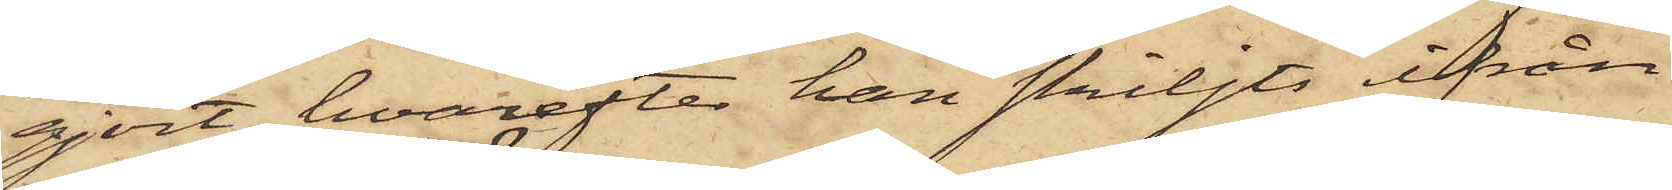gjort, hvarefter han skiljts ifrån
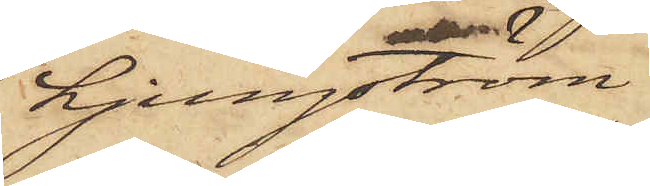Ljungström.
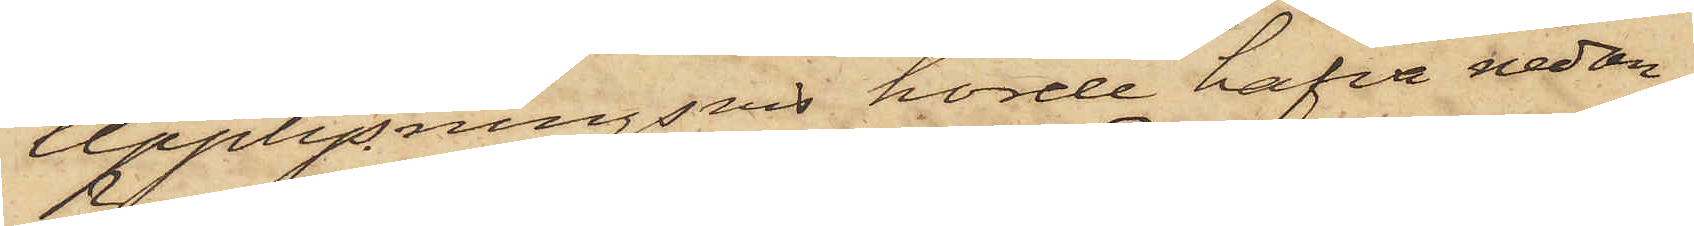Upplysningsvis hörde hafva nedan¬
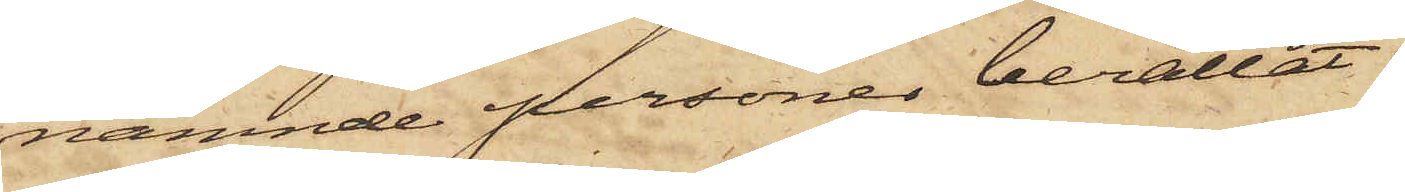nämnde personer berättat:
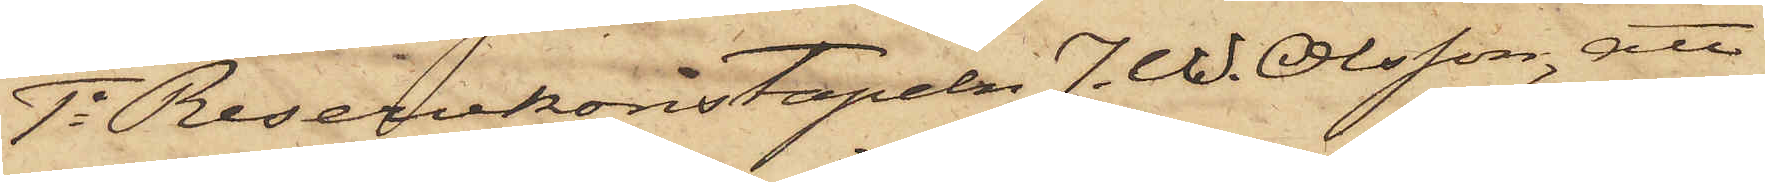1o Reservkonstapeln J. W. Olsson, att
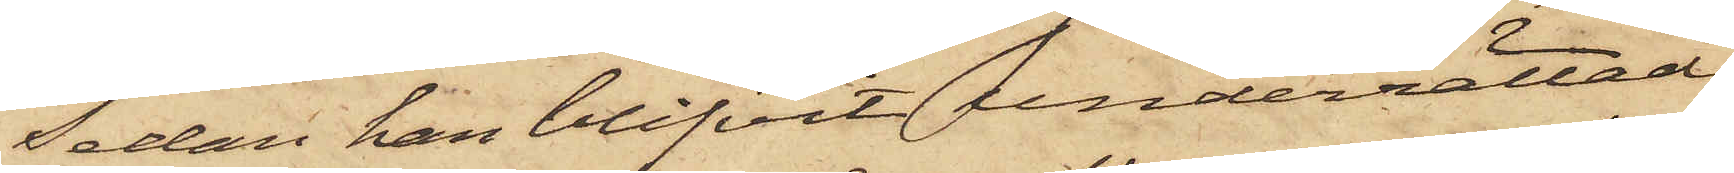Sedan han blifvit underrättad
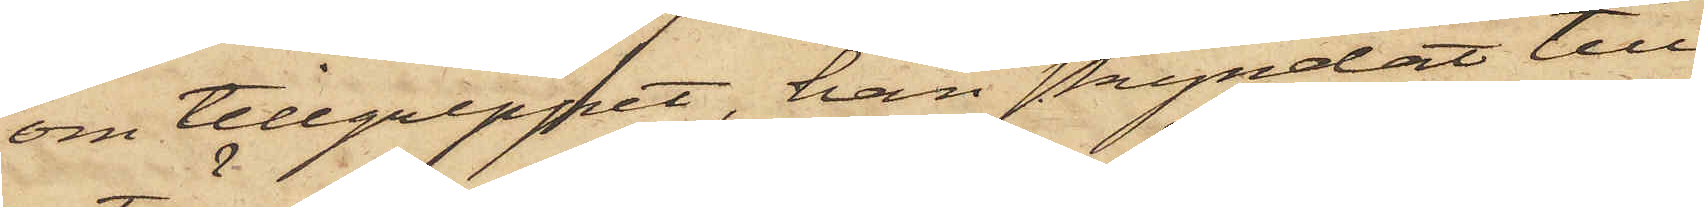om tillgreppet, han skyndat till
